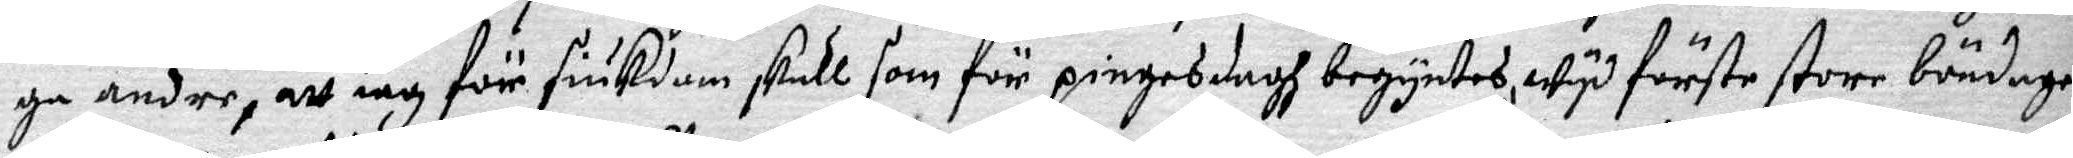ga andre, att iag för siukdom skull som för pingesdagh begyntes, wyd förste store böndagen
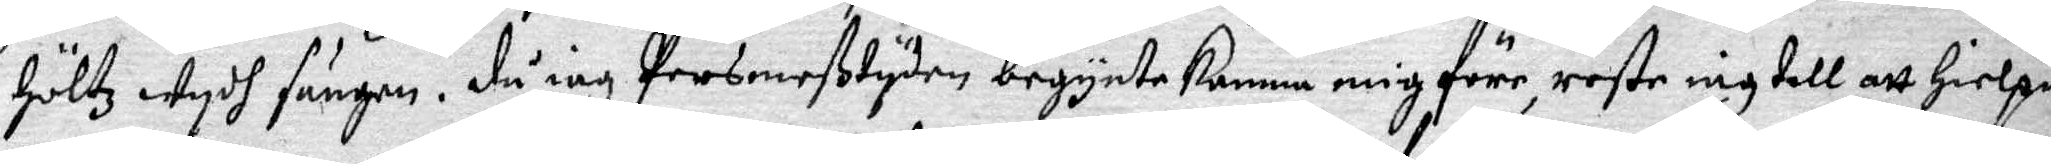höltz wydh sängen, då iag Persmeßtyden begynte komma mig före, reste iag till att Hielpa
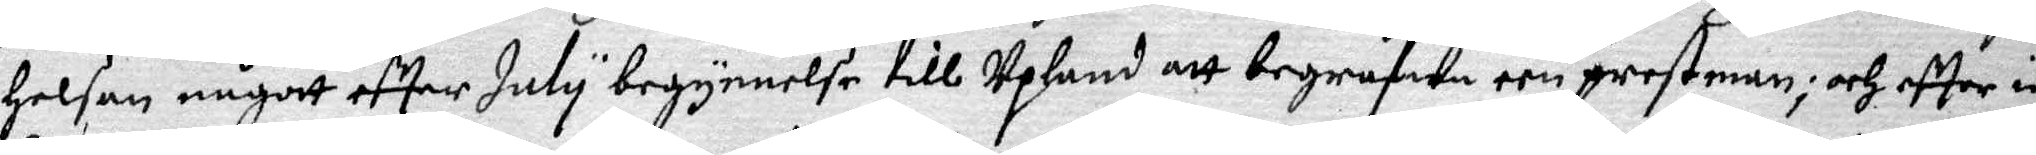Helsan något efter July begynnelse till Upland att begrafwa een prestman; och efter iag
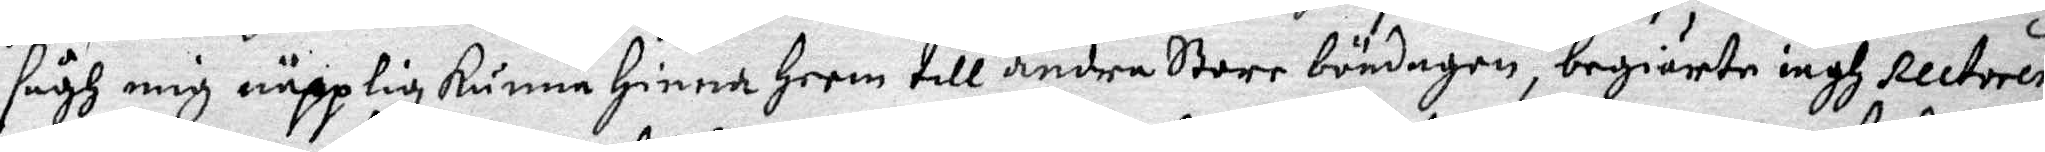sågh mig näpplig kunna hinna heem till andra Store böndagen, begiärte iagh Rectorem
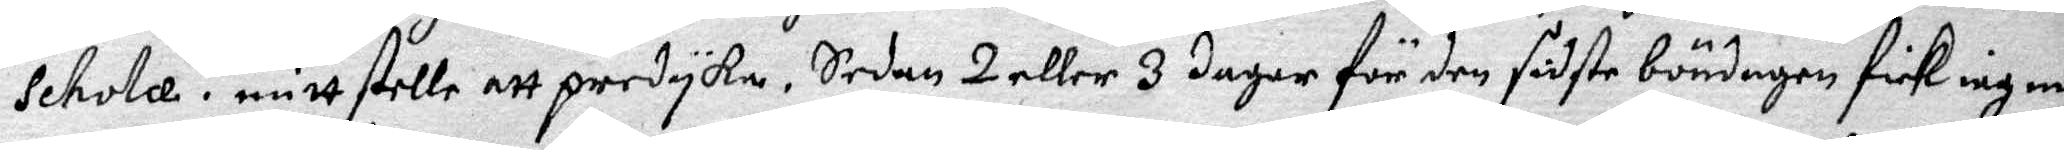Schole i mitt stelle att predyka. Sedan 2 eller 3 dagar för den siste böndngen fick iag ocz
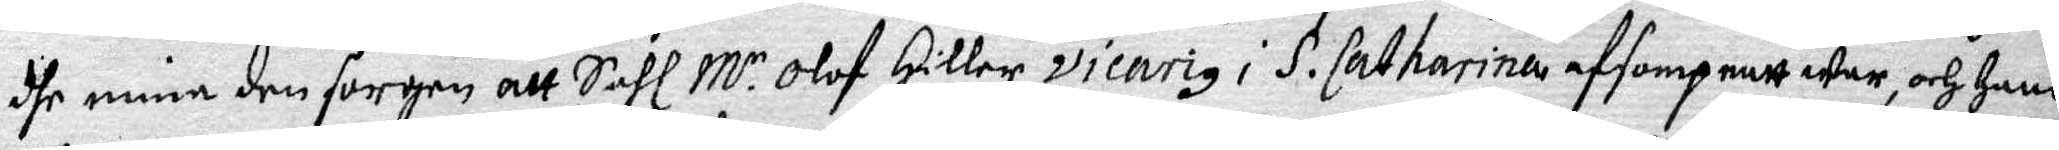dhe mina den sorgen att Sahl M.r Olof Hiller Vicarig i S. Catharina afsompnatt war, och hans
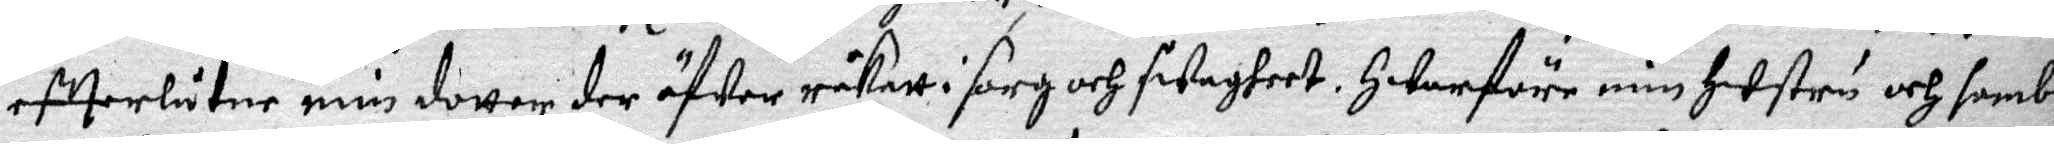efterlåtne min dotter der öfwer råkatt i sorg och swagheet. Hwarföre min hustru och sambl¬
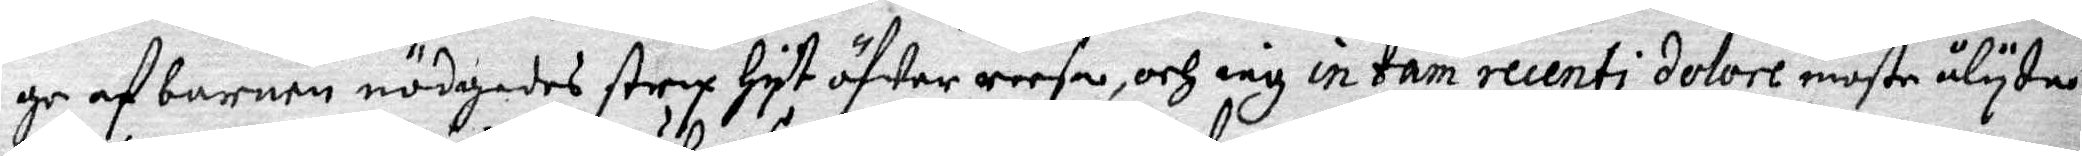ge af barnen nödgades strax hyt öfwer reesa, och iag in tam recenti dolore moste ålytne
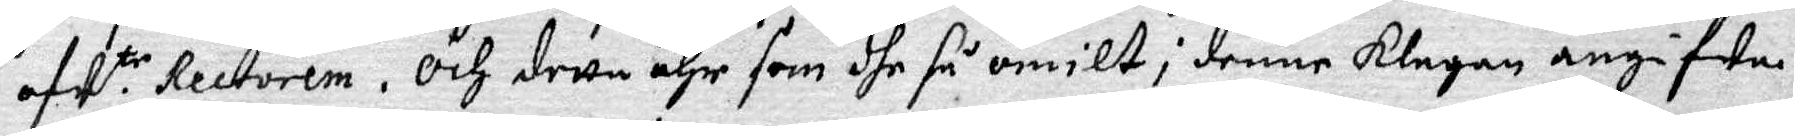afw.tr Rectorem. Och detta ähr som dhe så omilt i denne klagan angifwa.
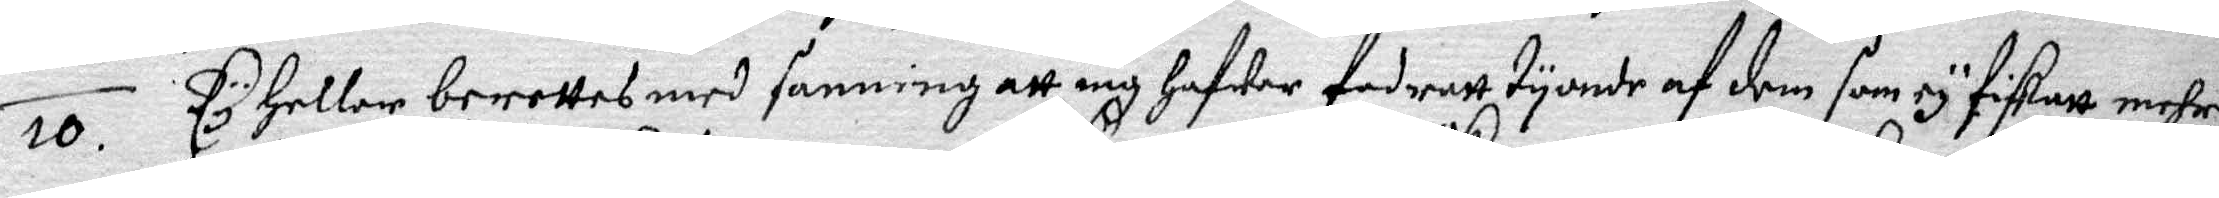10. Ty heller berettas med sanning att iag hafwer fodratt tyonde af dem som ey fiskatt mehre
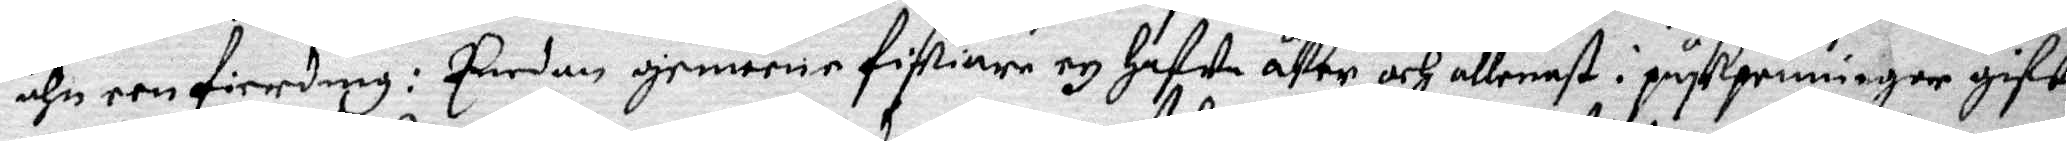ähn een fierding: Emedan gemeene fiskiare ey hafwe åker och allenast i påskpenningar gifwa
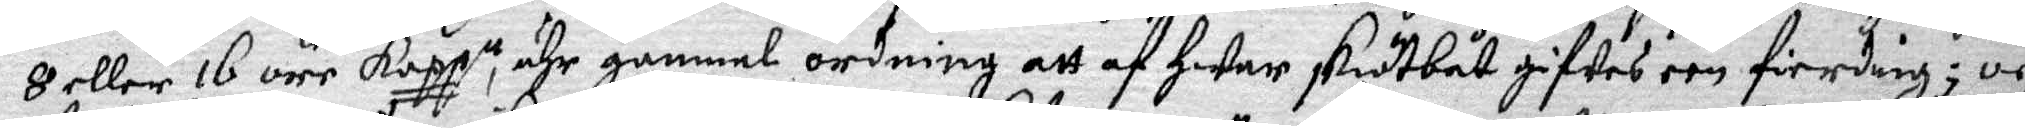8 eller 16 öre kopp.tt, ähr gammel ordning att af hwar skötbåt gifwes een fierding; och
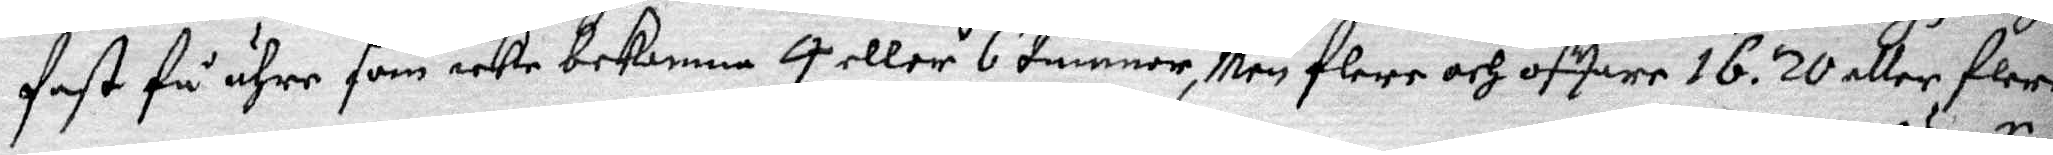fast få ähre som icke bekomma 4 eller 6 tunnor, Men flere och offare 16. 20 åller flere
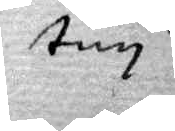tun 
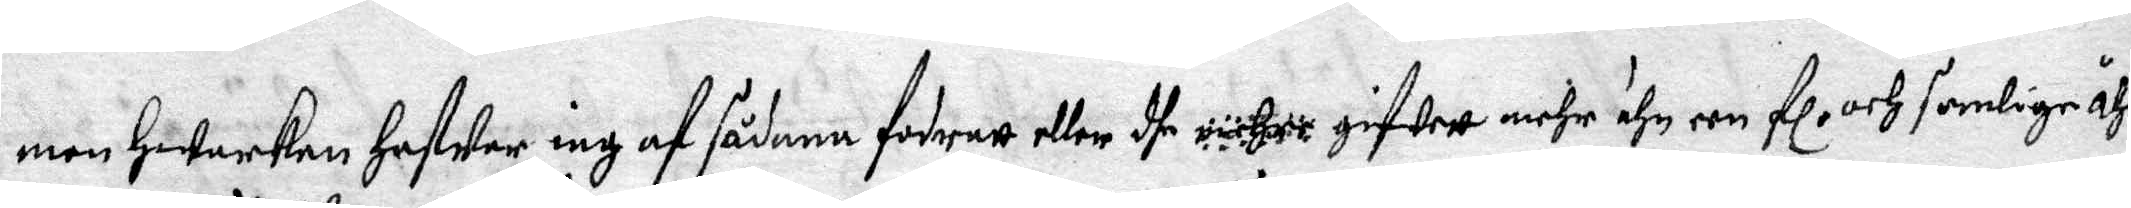nan Hwarken Hafwer iag af sådana fordratt eller de gifwett mehr ähn een Fl. och somlige åhr
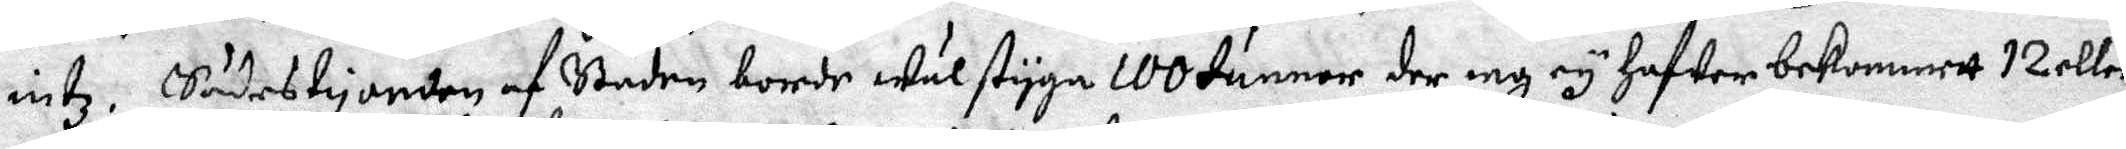intz. Sädestyonden af Staden borde wäl styga 100 tunnor der iag ey hafwer bekommett 12 eller
